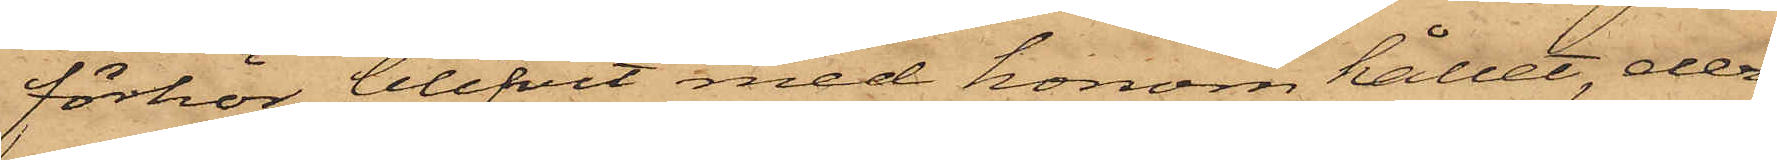förhör blifvit med honom hållet, der¬
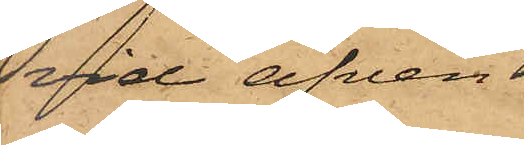vid äfven
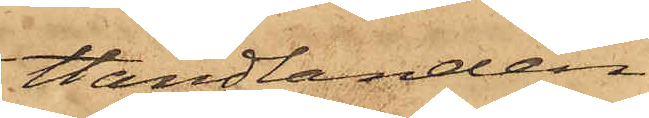Handlanden
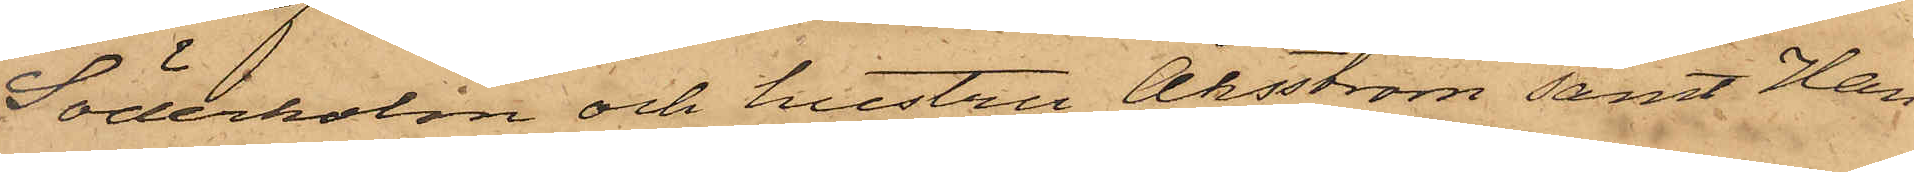Söderholm och hustru Åhsström samt Han¬
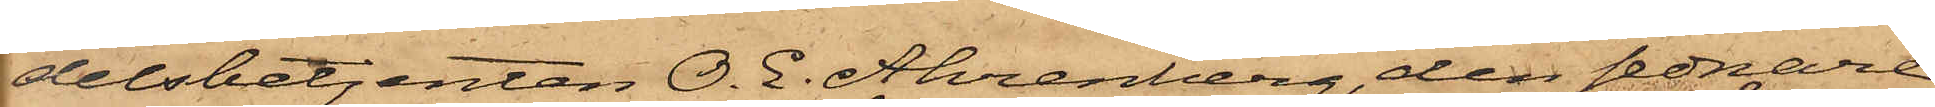delsbetjenten O. E. Ahrenberg, den sednare
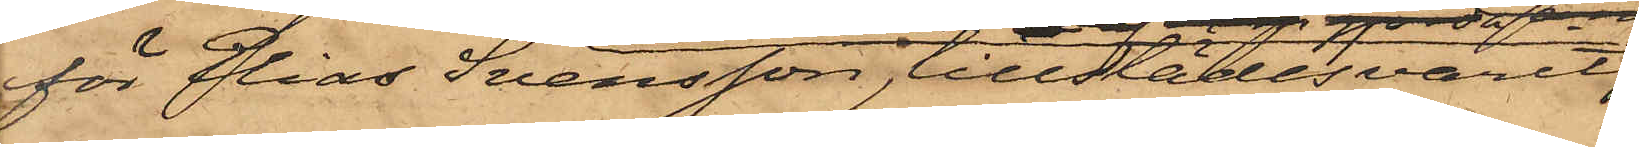för Elias Svensson, tillställesvarit,
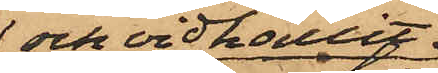och vidhållit
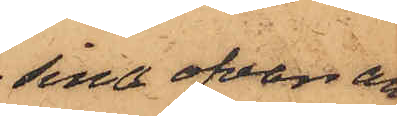sina ofvan an¬
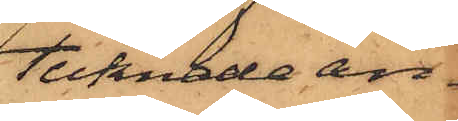tecknade an¬
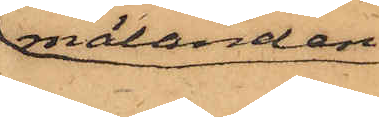mälanden
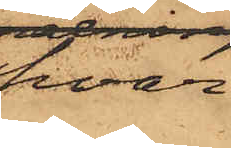hvar¬
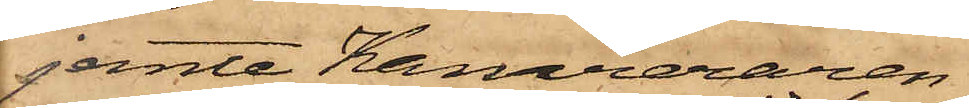jemte Kamreraren
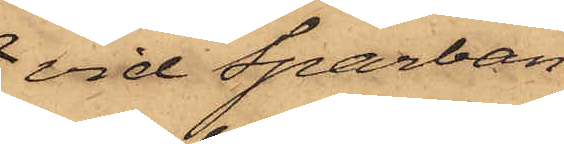vid Sparban¬
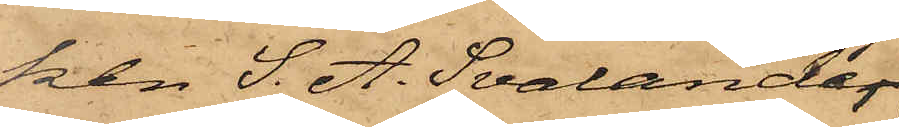ken S. A. Svalander
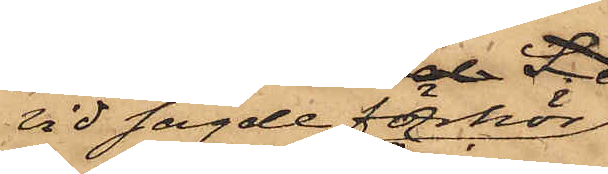vid sagde förhör
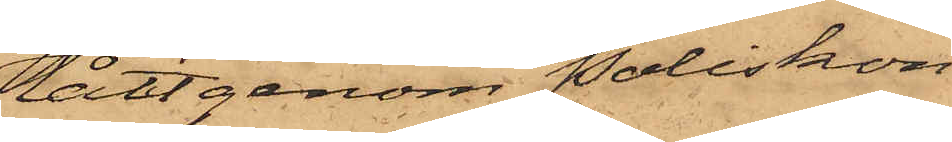låtit genom Poliskon¬
